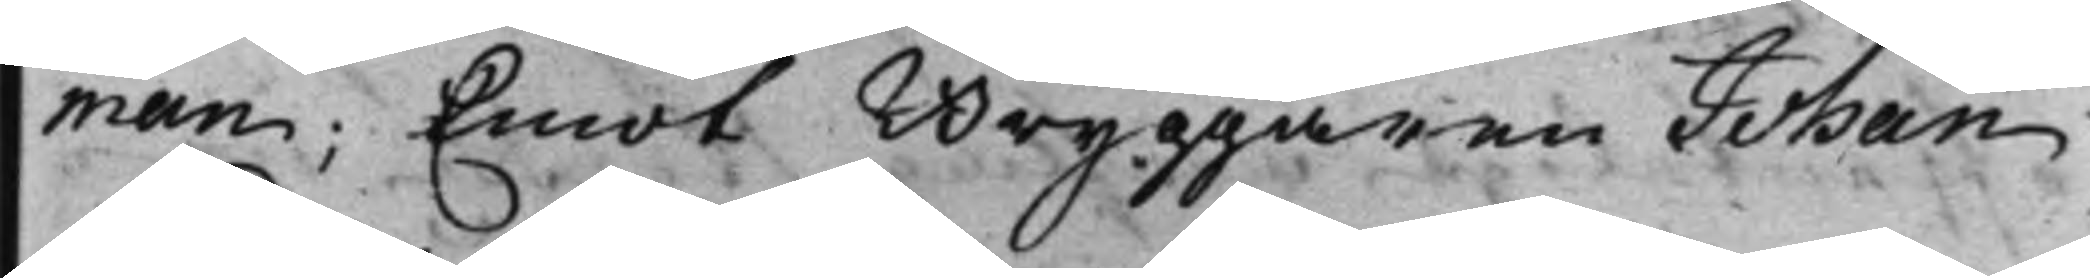man; Emot Bryggaren Johan
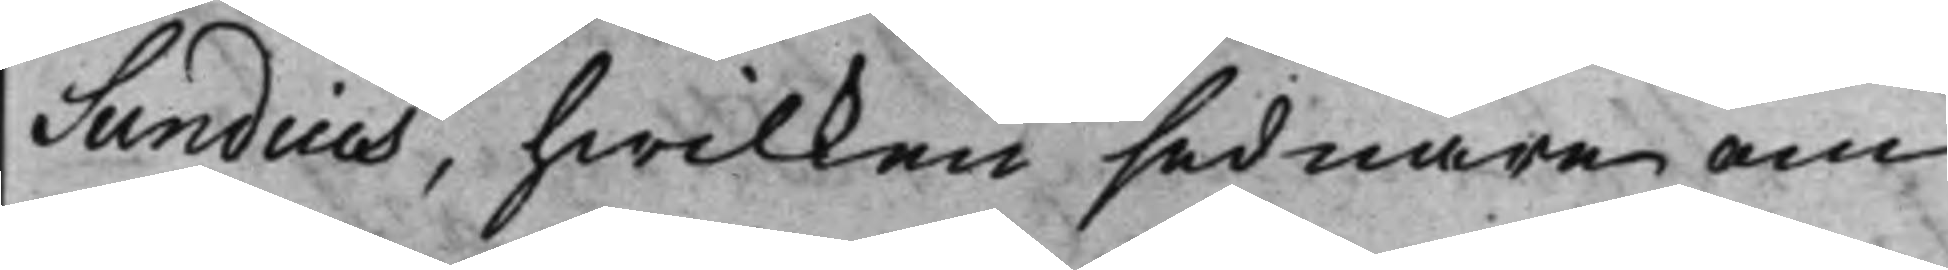Sundius, hwilken sednare om
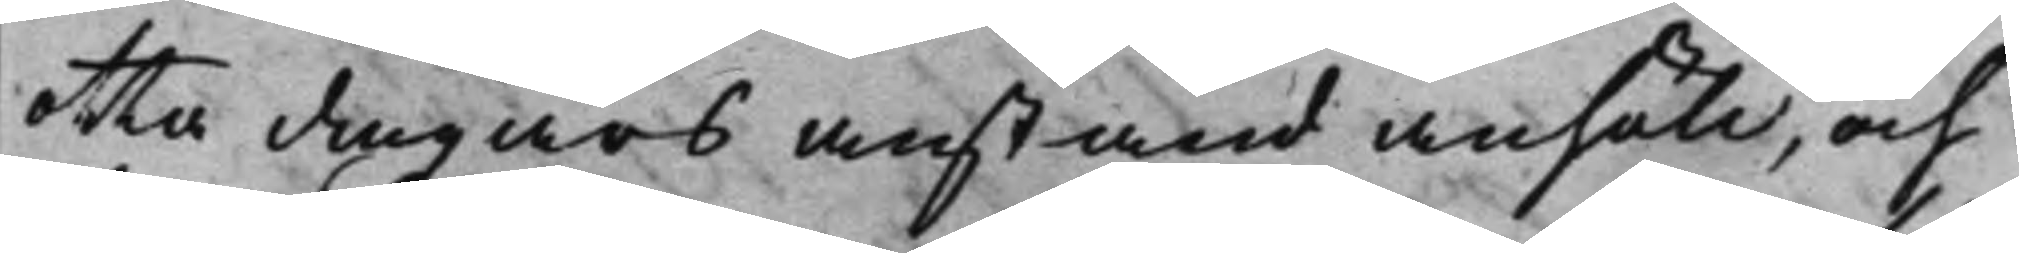otta dagars anstånd anhöll, och
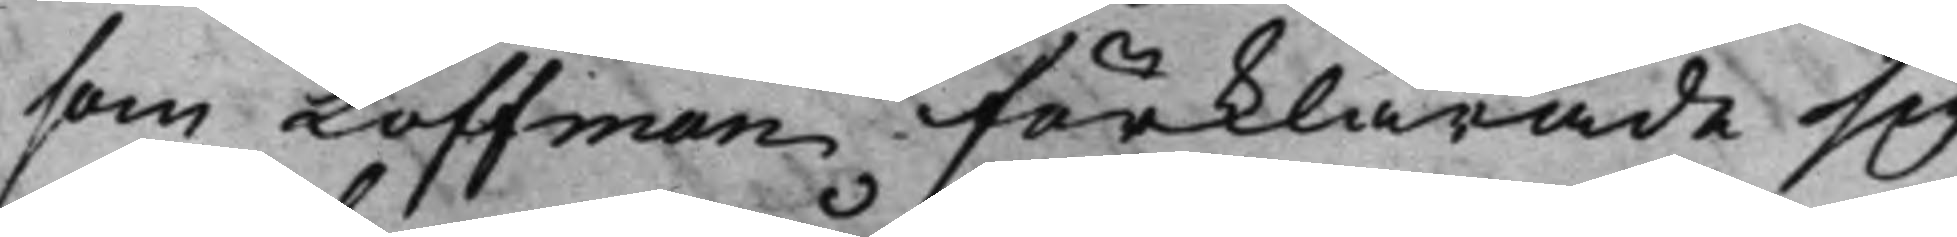som Loffman förklarade sig
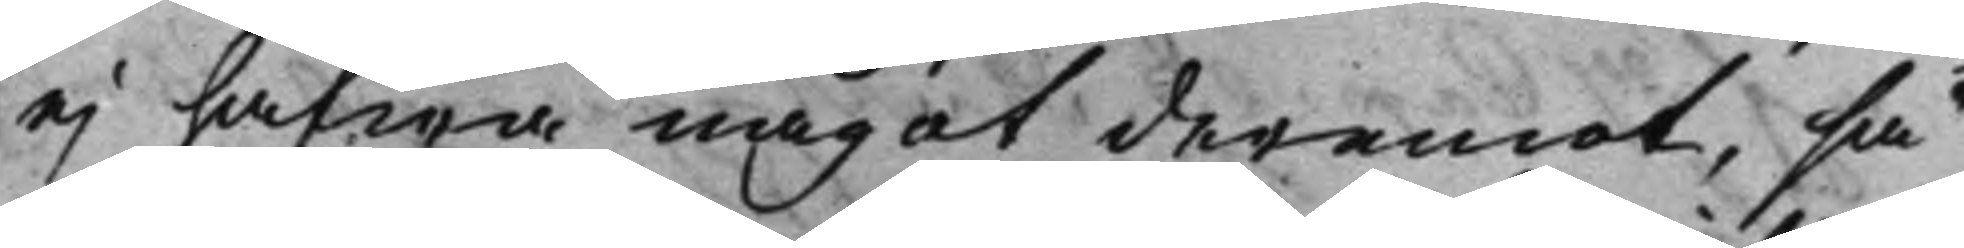ej hafwa något deremot, så
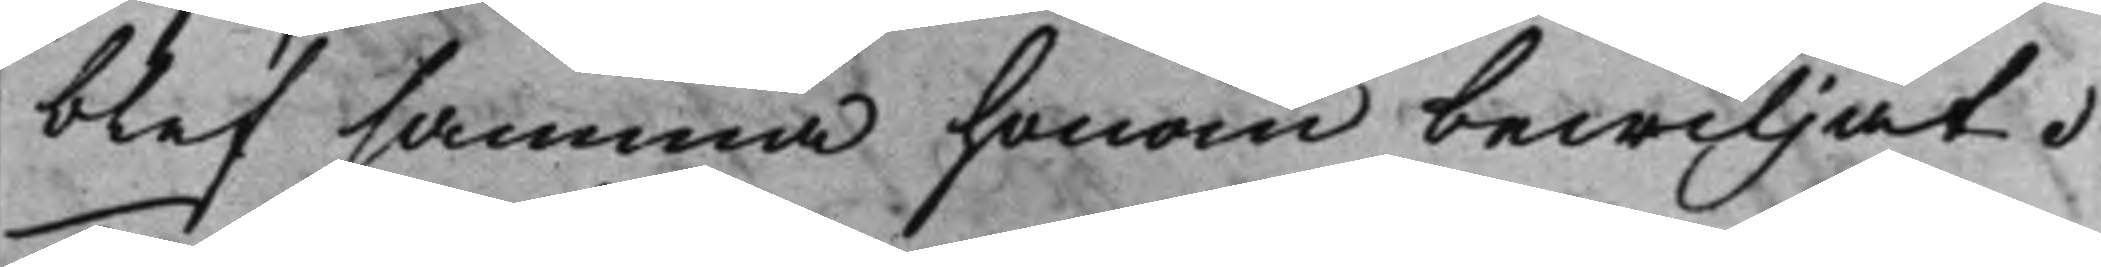blef samma honom bewiljat.
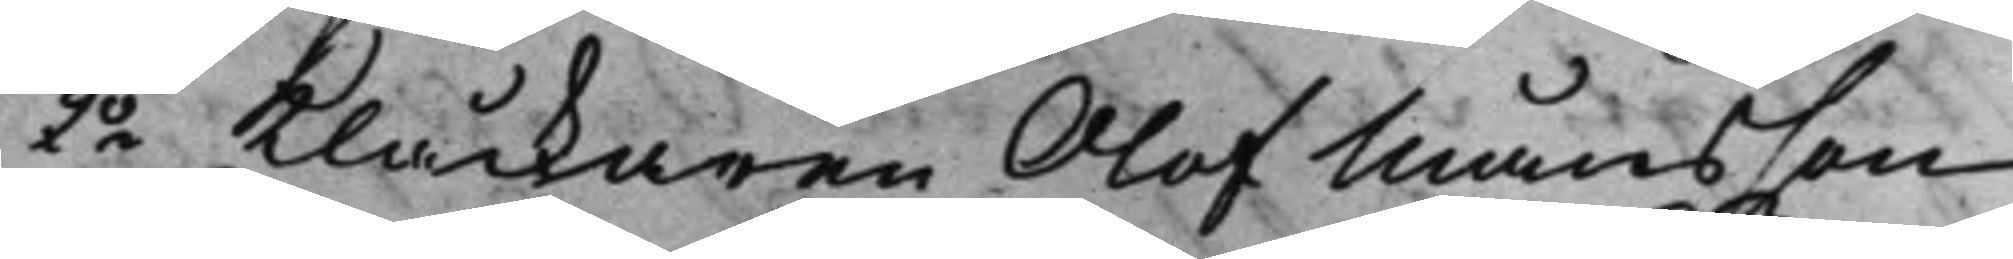2o Klåckaren Olof Månsson 
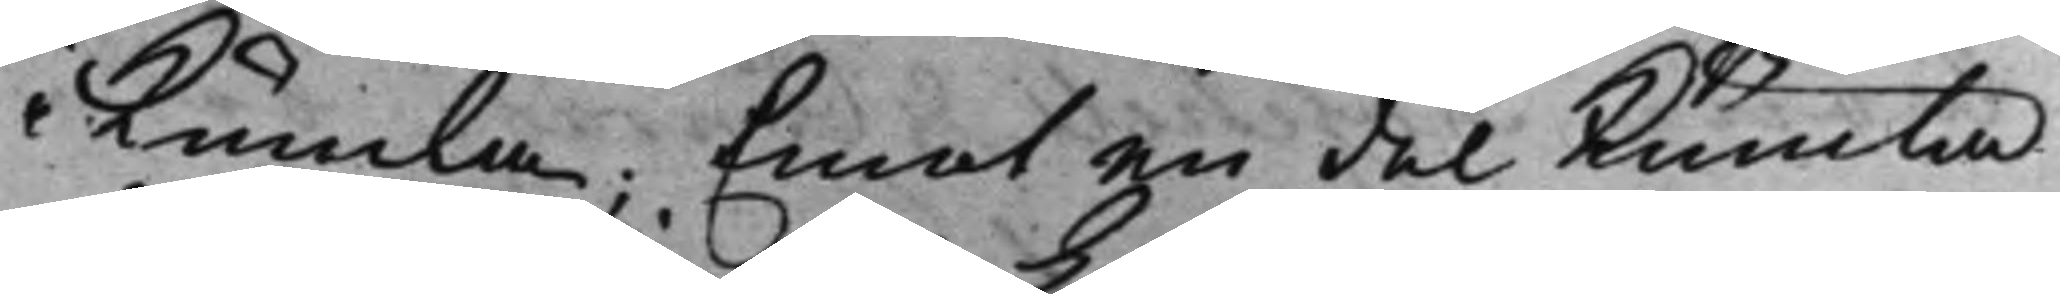i Kumla; Emot en del Kumla
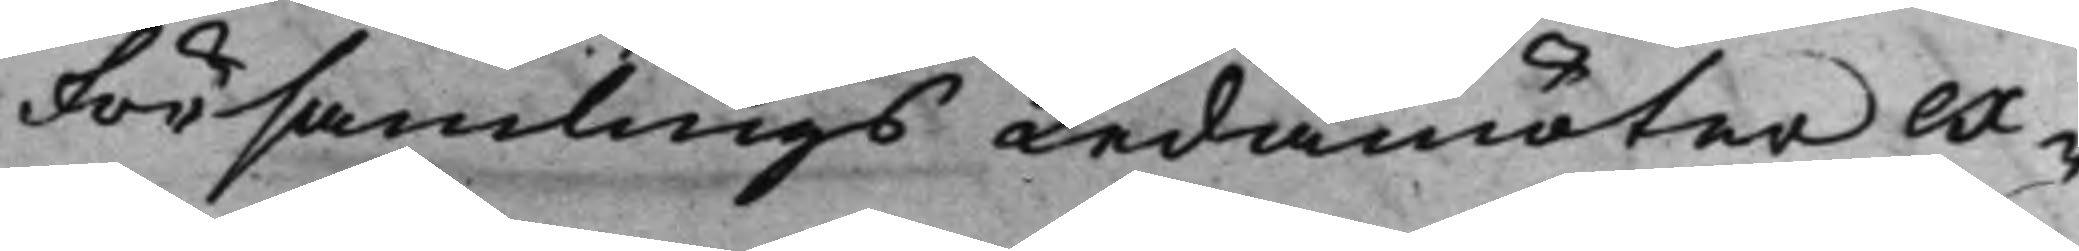Församlings Ledamöter ex¬
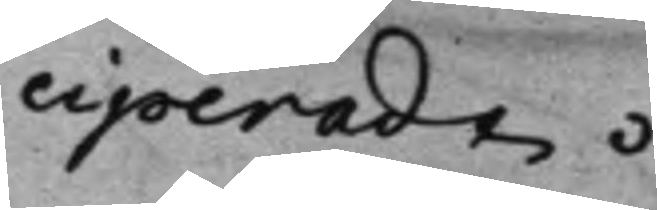ciperadt.
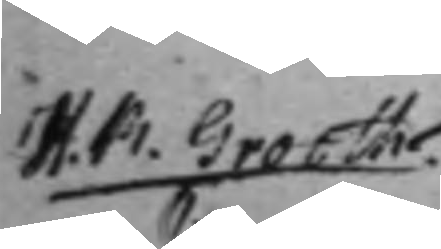H. R. Grooth. 
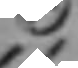C
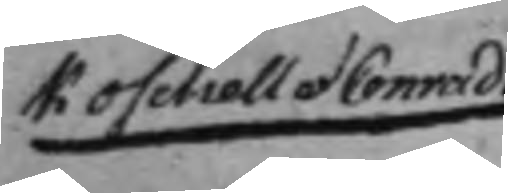Koschell et Conradi
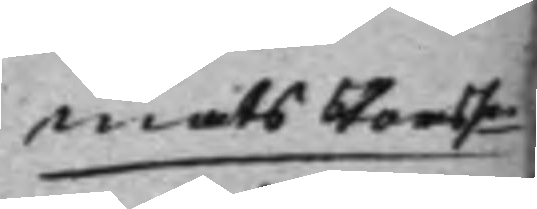Mats Perssn 
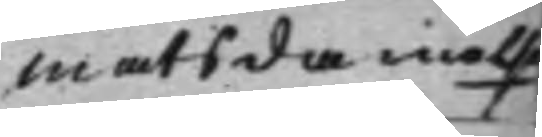Mats Danielsn
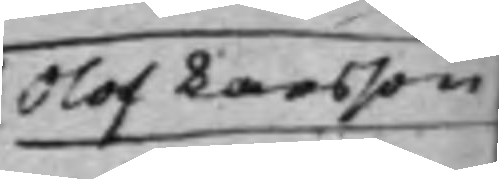Olof Larsson
